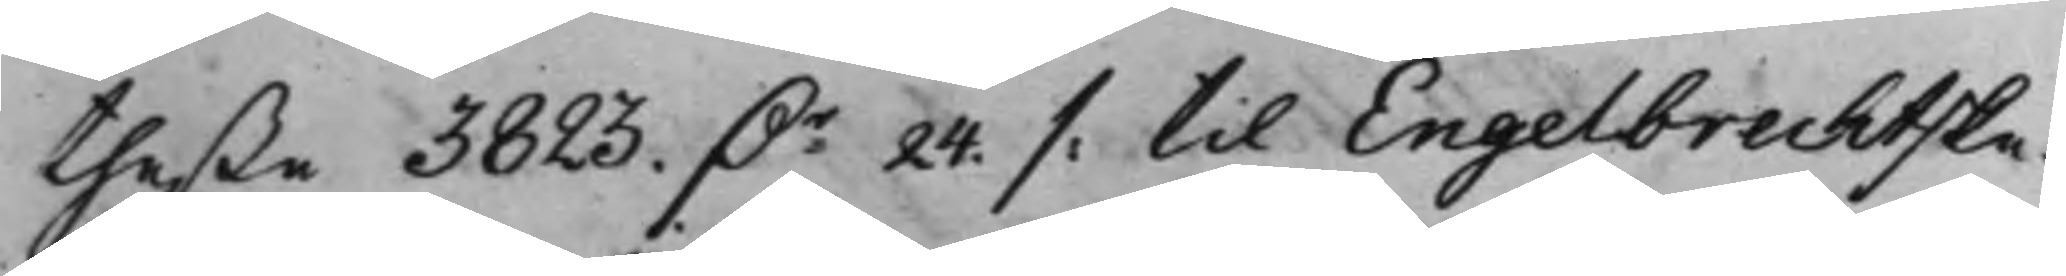theße 3823. Dr 24. /: til Engelbrechtske¬
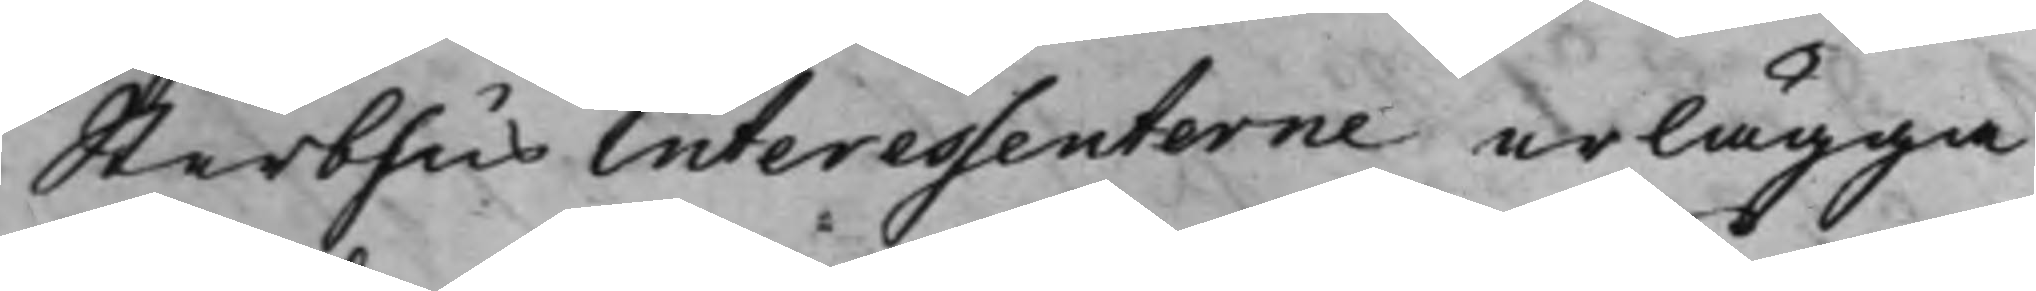SterbhusInteressenterne erlägga
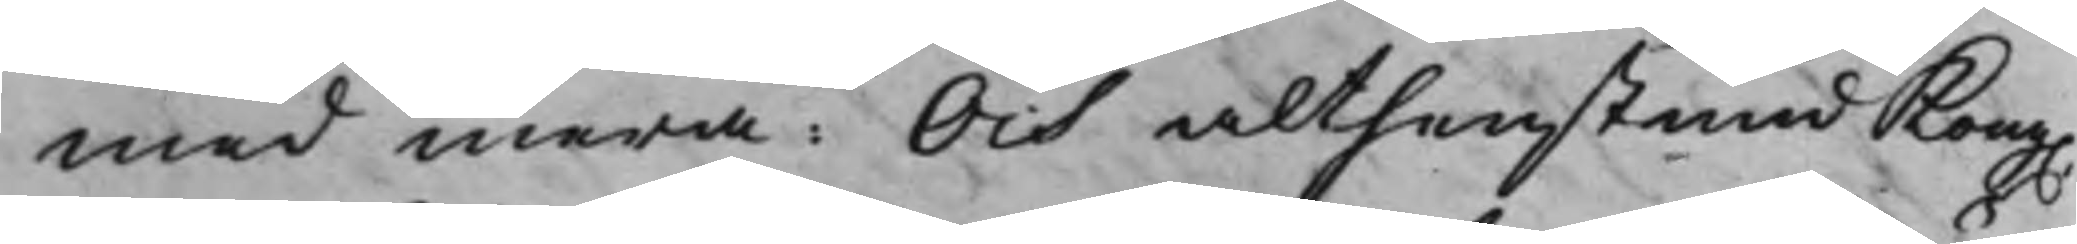med mera: Och althenstund Kong.
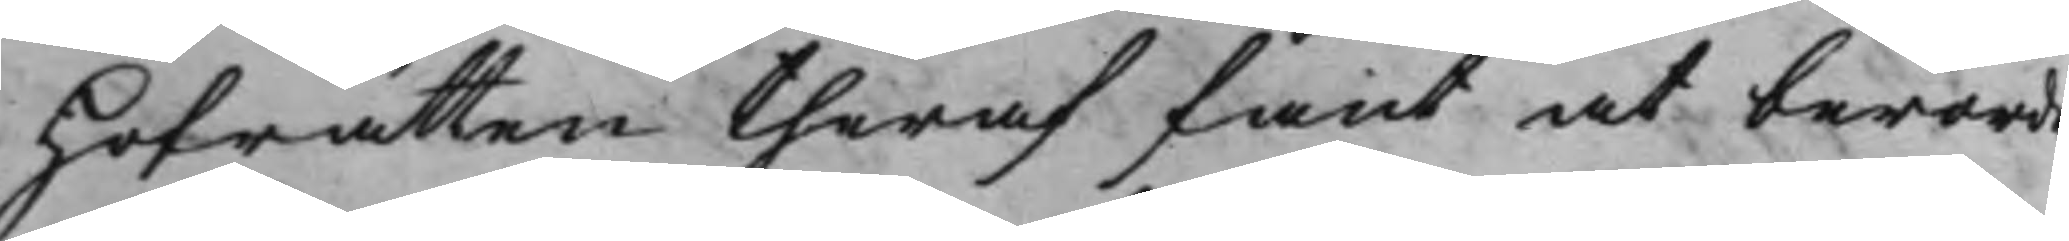Hofrätten theraf fant at berörde
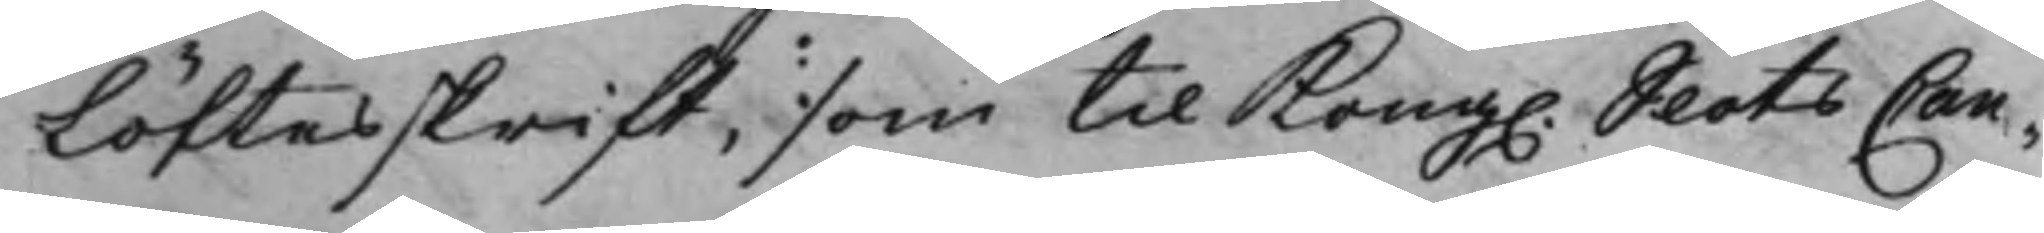Löftesskrift, som til Kong. SlotsCan¬
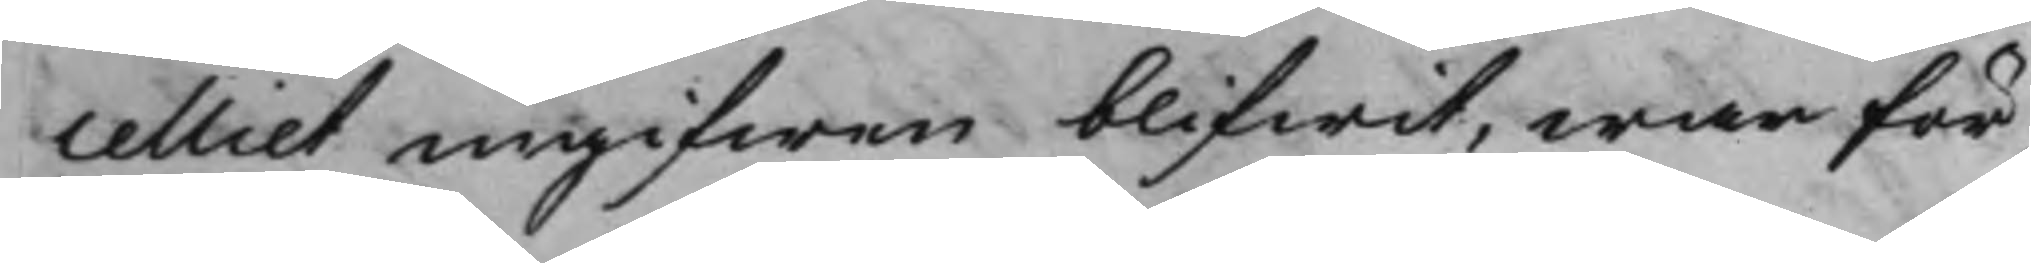celliet ingifwen blifwit, war för¬
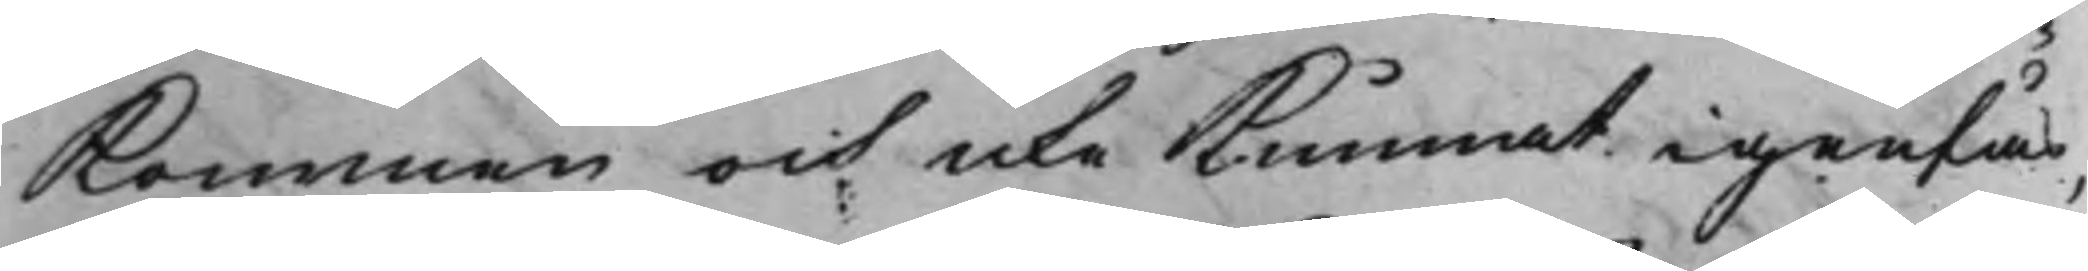Kommen och icke Kunnat igenfås,
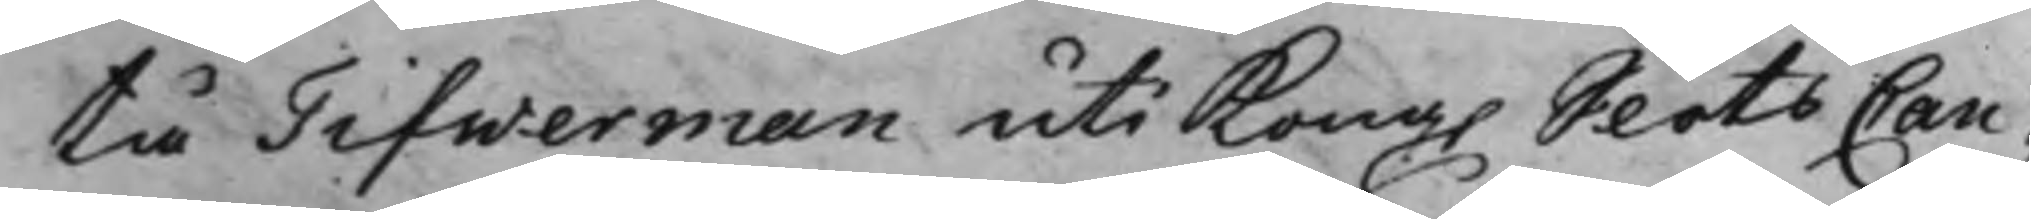tå Tifwerman uti Kong. SlotsCan¬
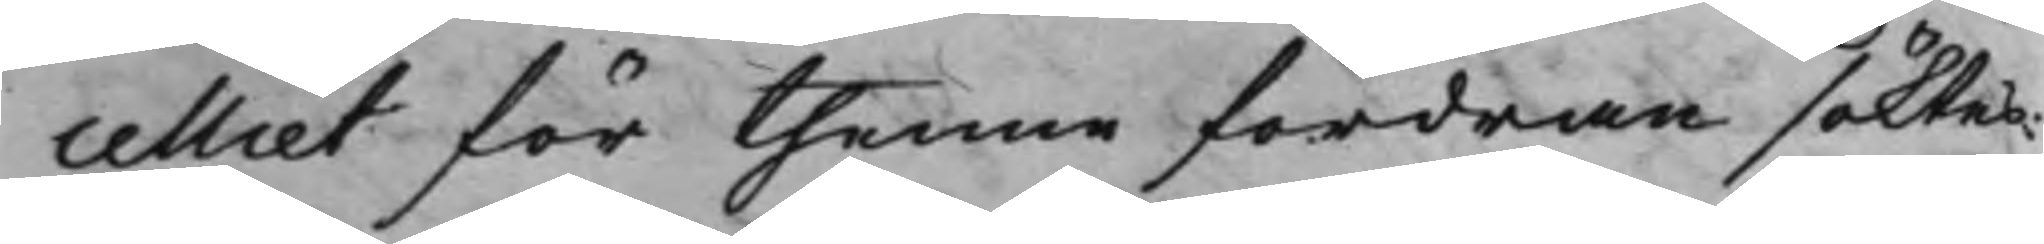celliet för thenne fordran söktes:
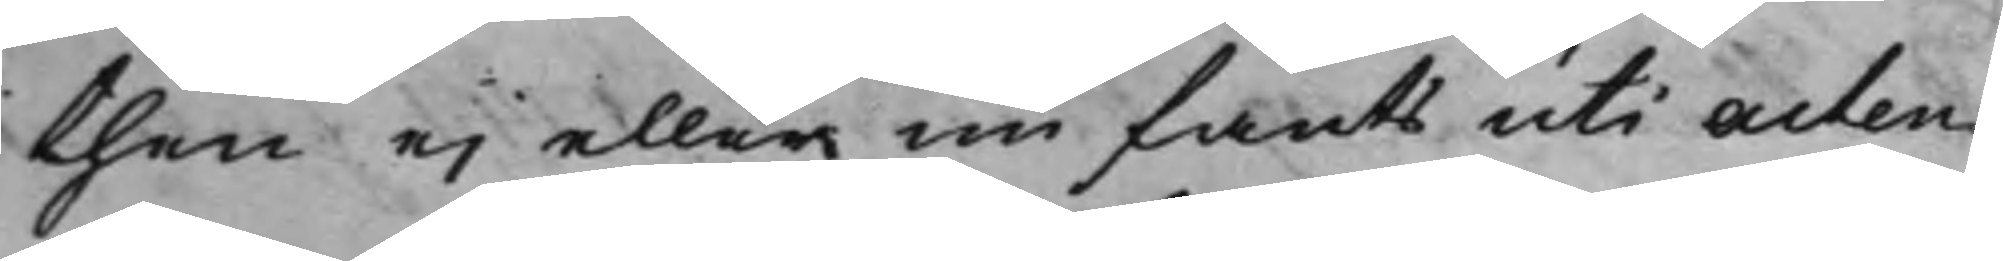then ej eller nu fants uti acten
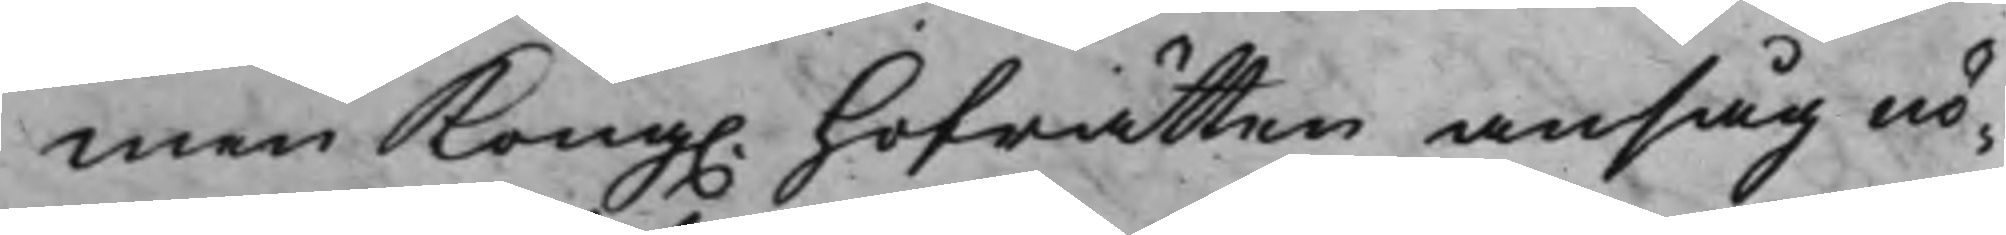men Kong. hofrätten ansåg nö¬
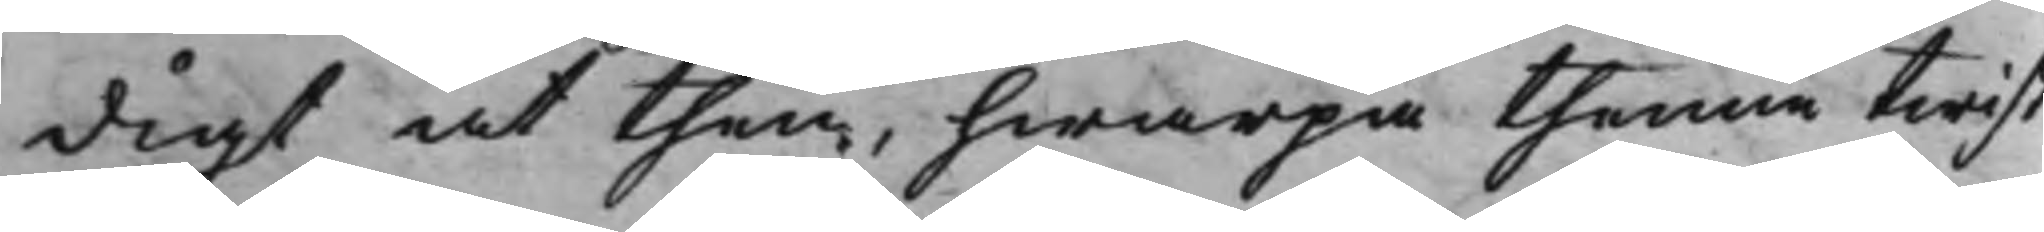digt at then, hwarpå thenne twist
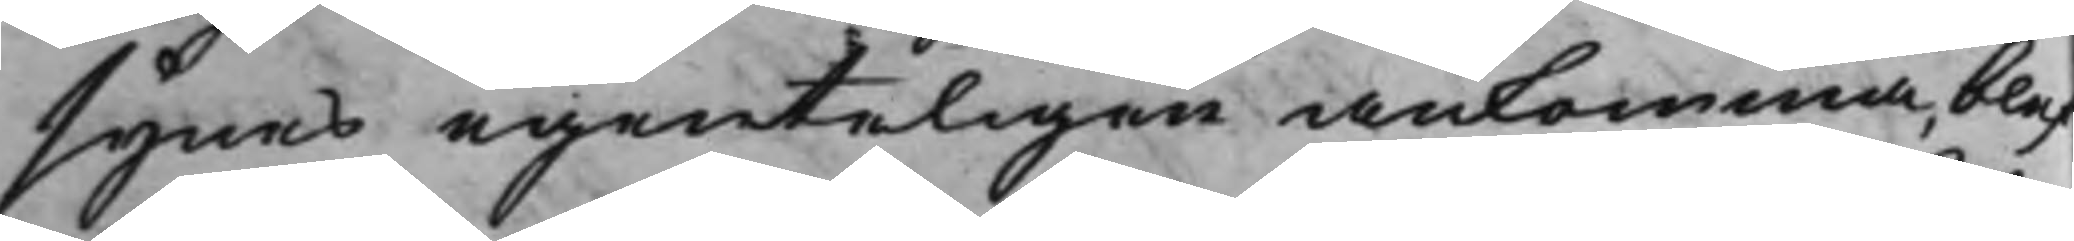synes egenteligen ankomma, blef¬
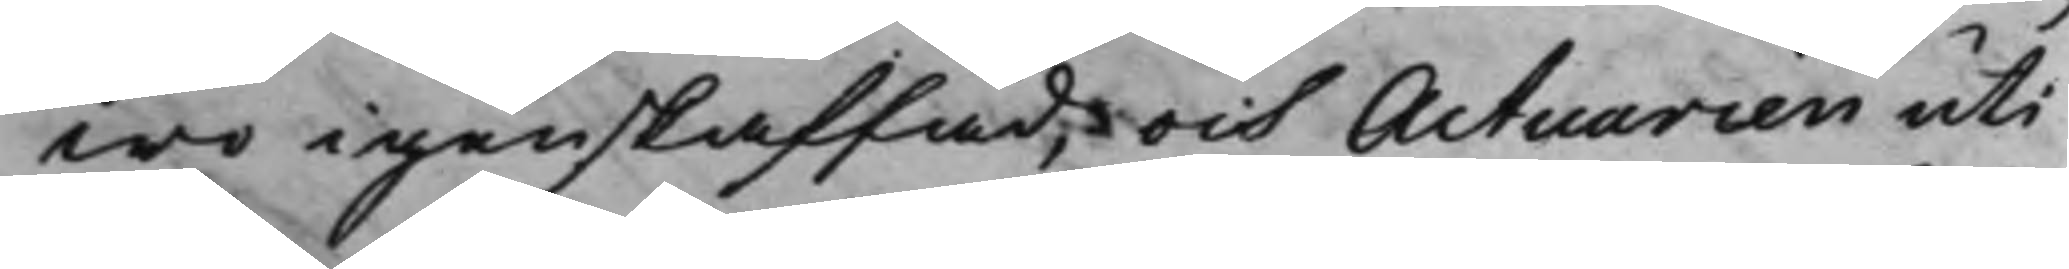wo igenskaffad, och Actuarien uti
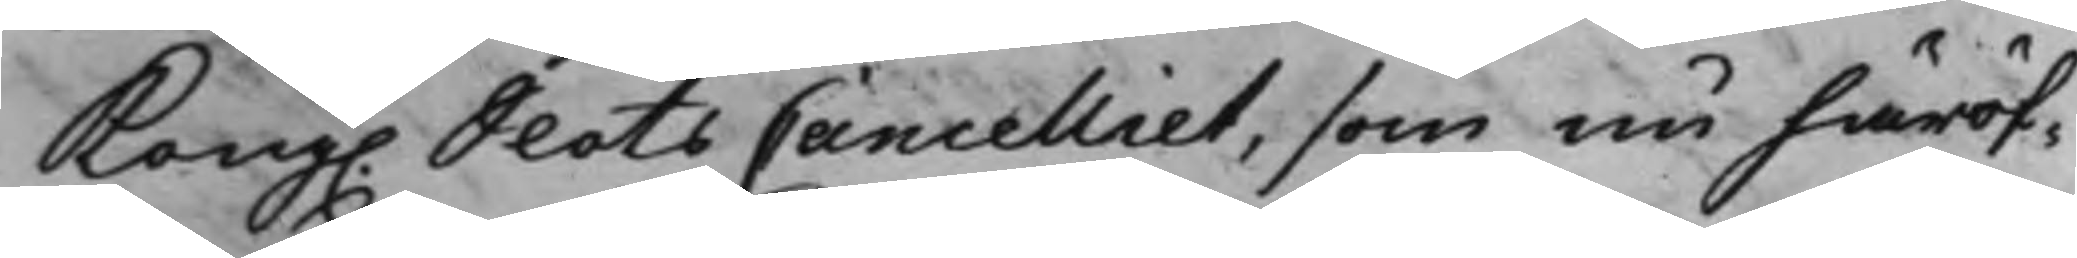Kong. SlotsCancelliet, som nu häröf¬
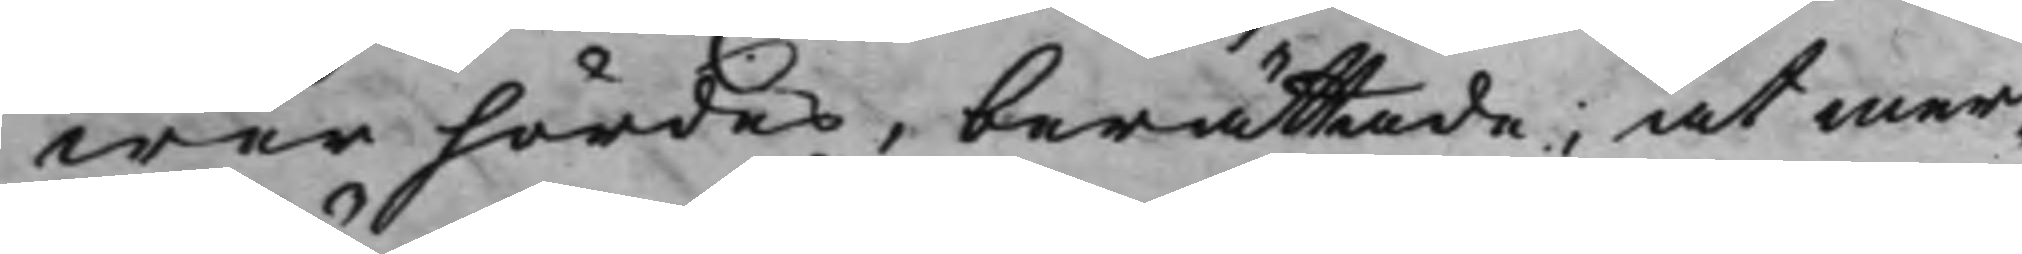wer hördes, berättade; at mer¬
